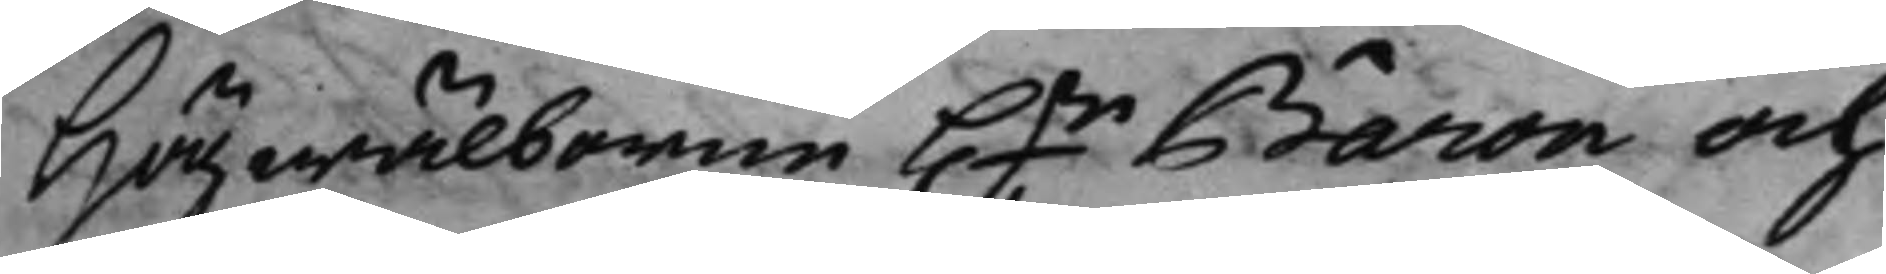Högwälborne h.r Baron och
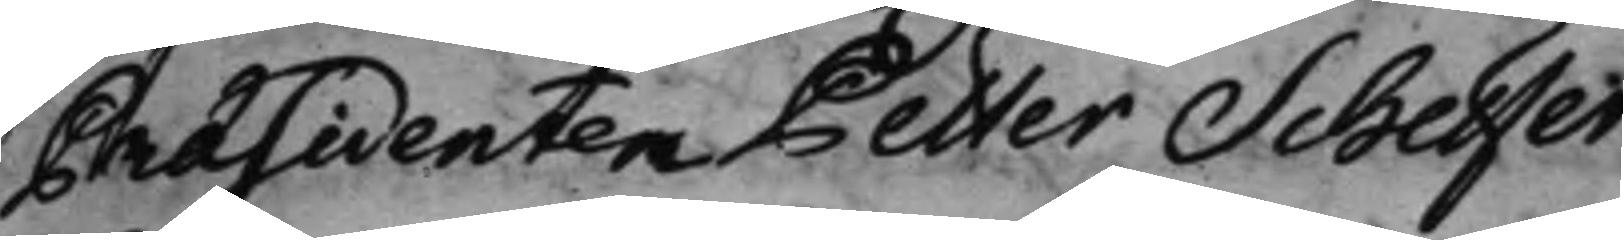Präsidenten Petter Scheffer
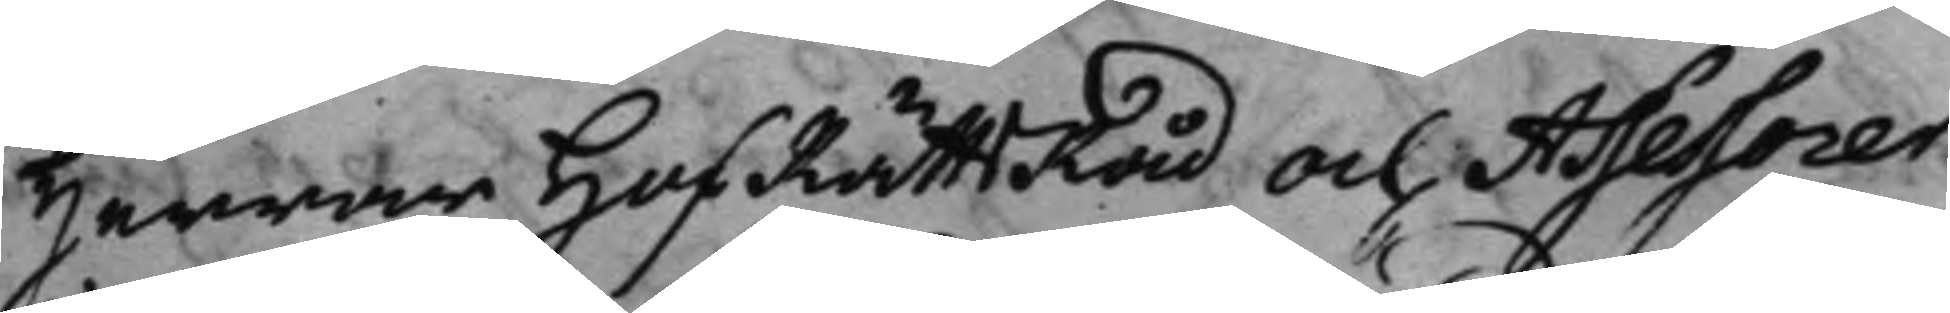Herrar HofRättsRåd och Assessorer
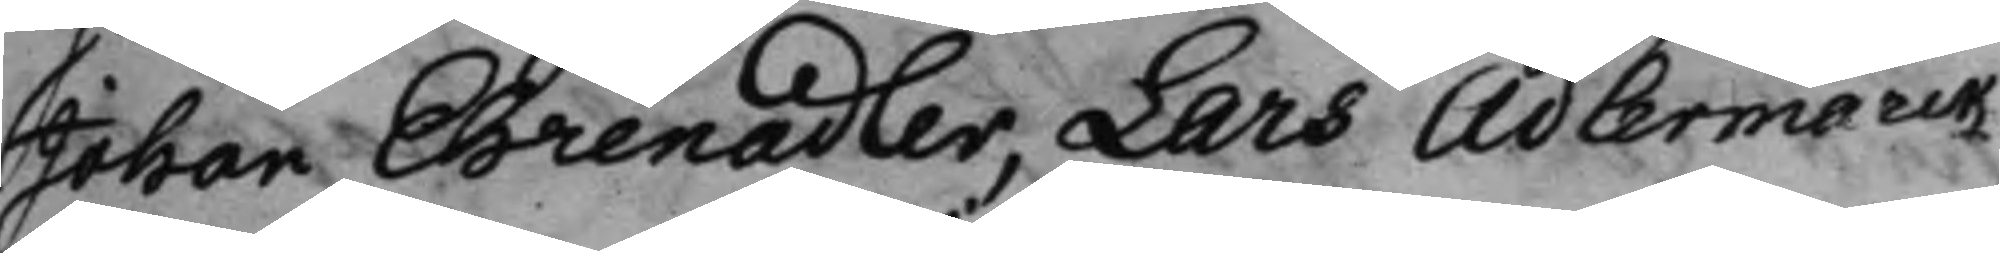Johan Ehrenadler, Lars Adlermarck,
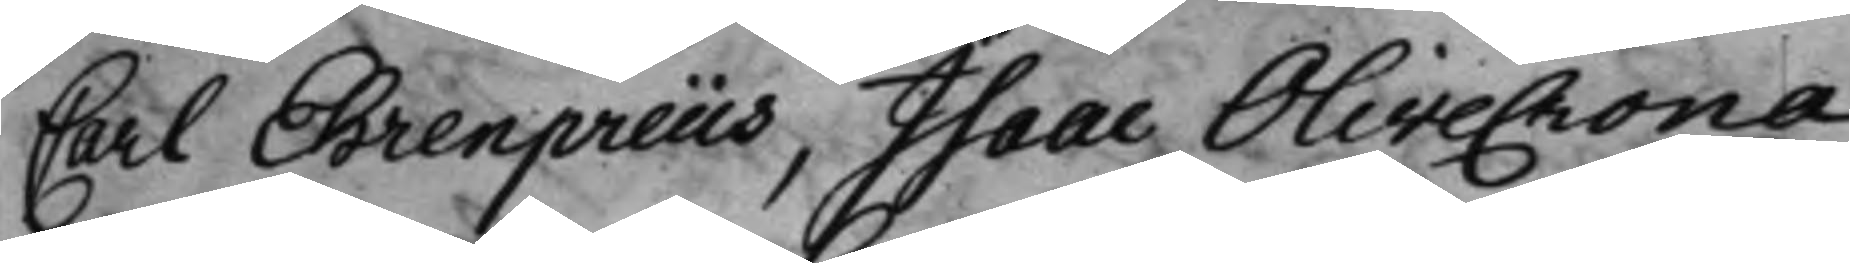Carl Ehrenpreüs, Isaac Olivecrona,
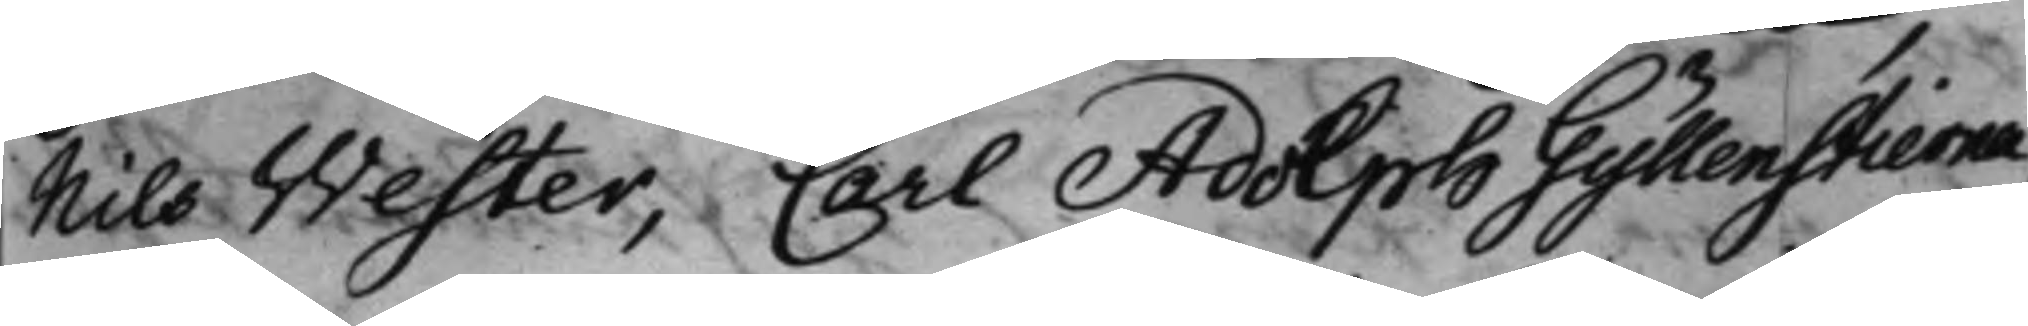Nils Wester, Carl Adolph Gyllenstierna,
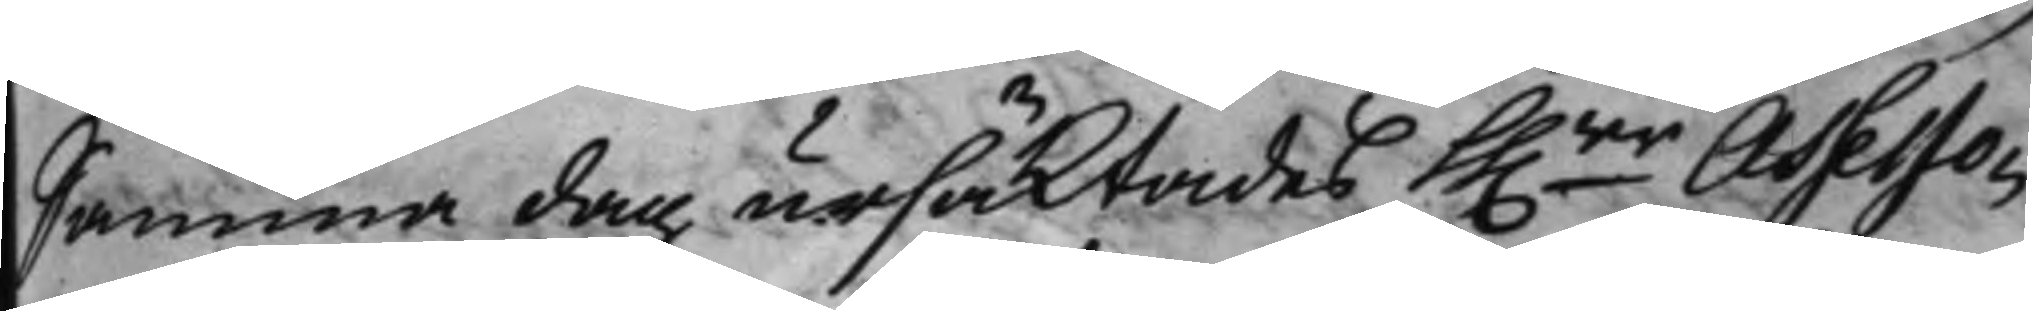Samma dag ursäktades hh.rr Assesso¬
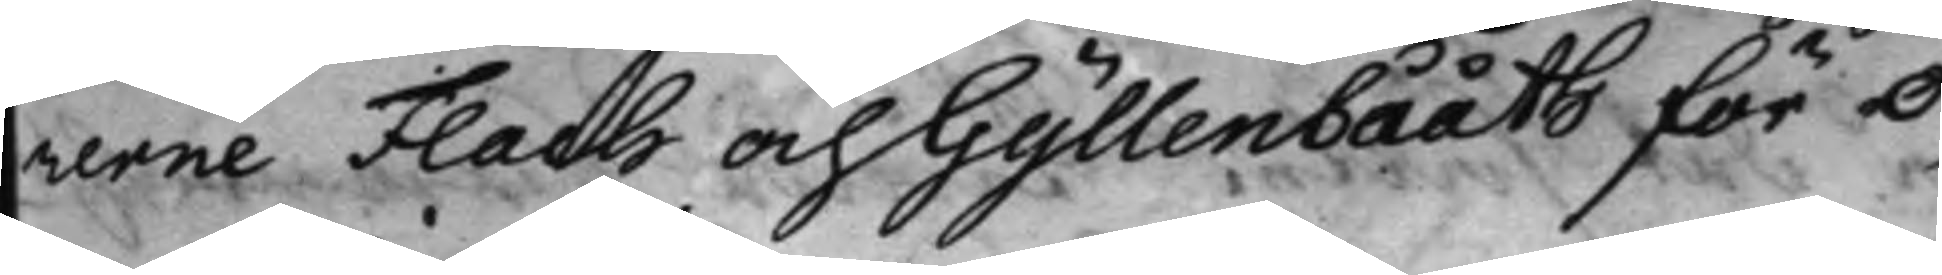rerne Flach och Gyllenbååth för o¬
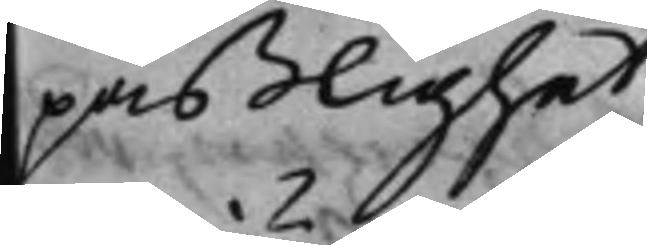paßlighet.
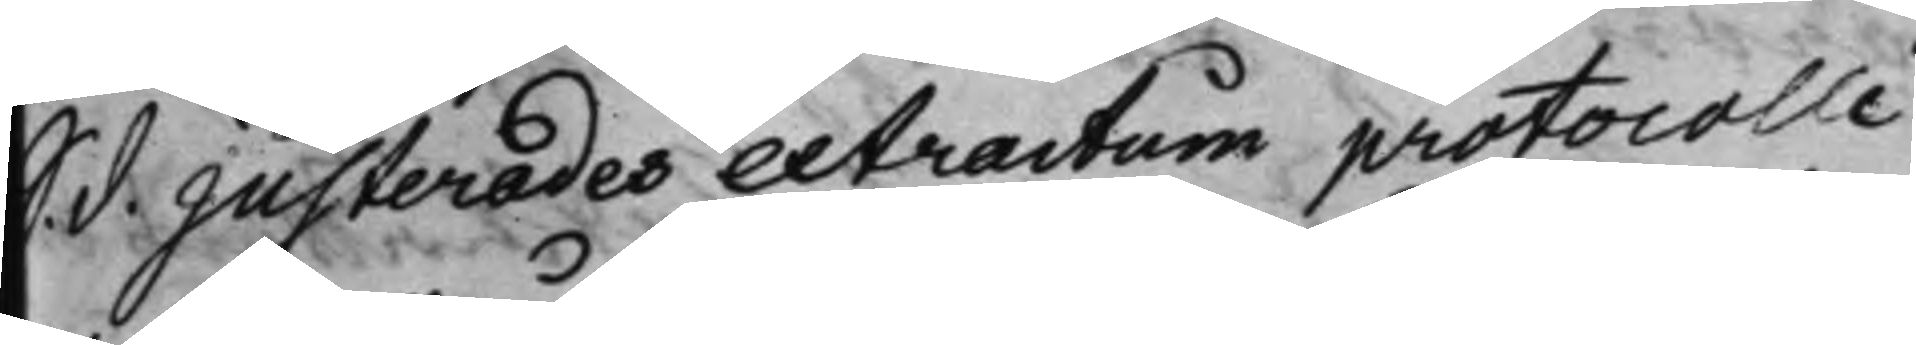S. d. Justerades extractum protocolli
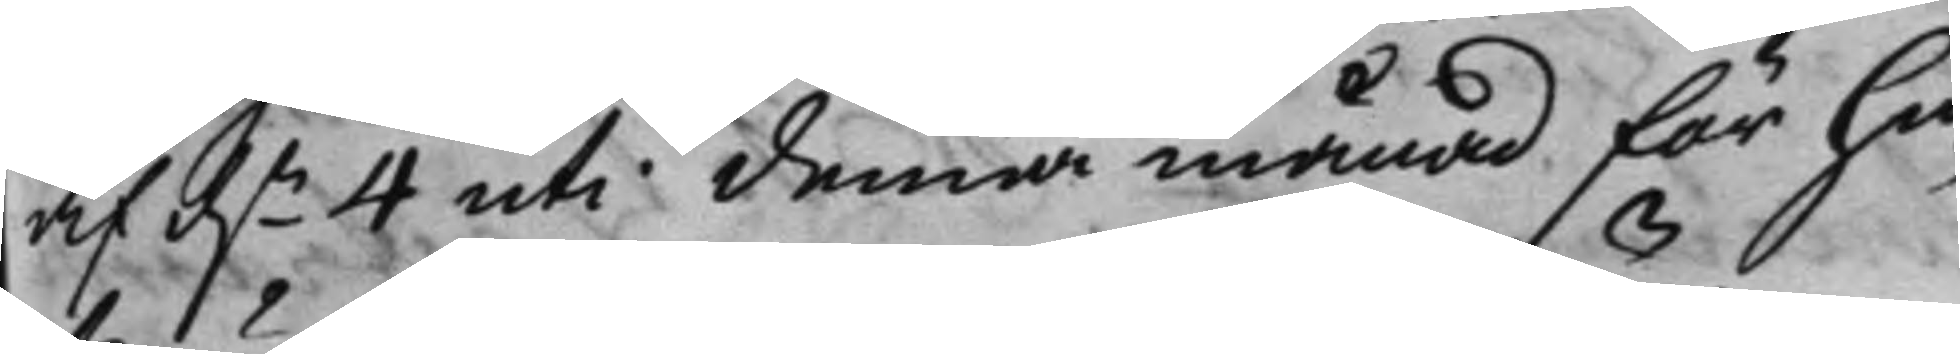af d.n 4 uti denna månad för hu¬
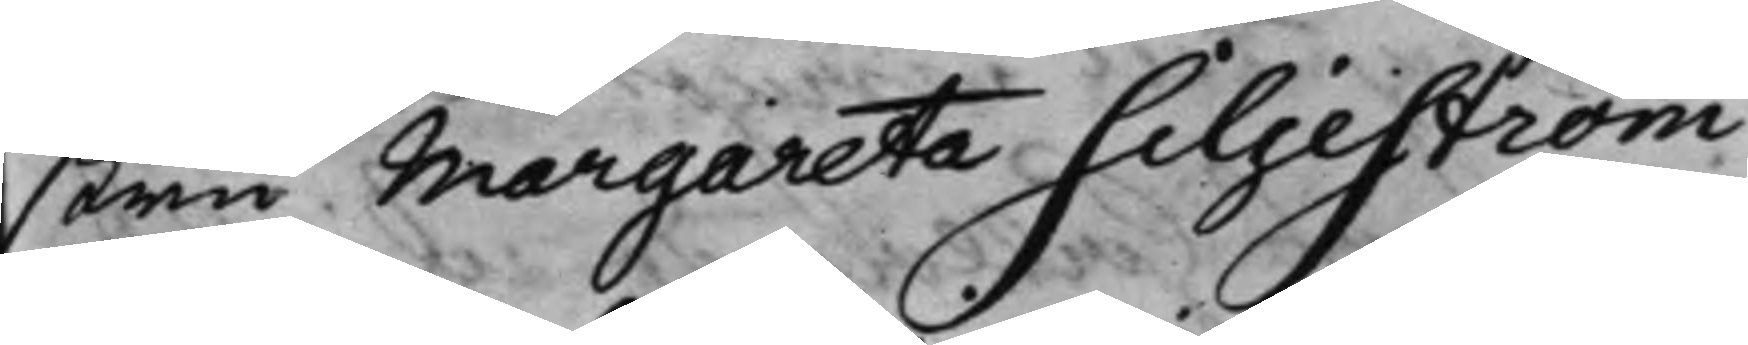stru Margareta Siljeström
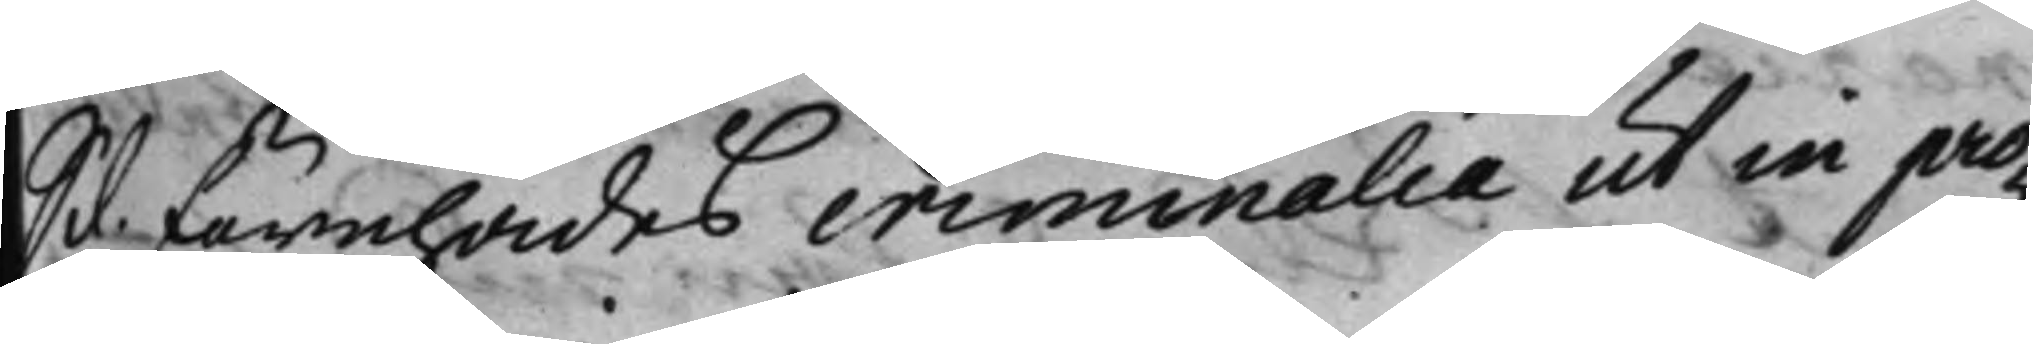S d. förehades criminalia ut in pro¬
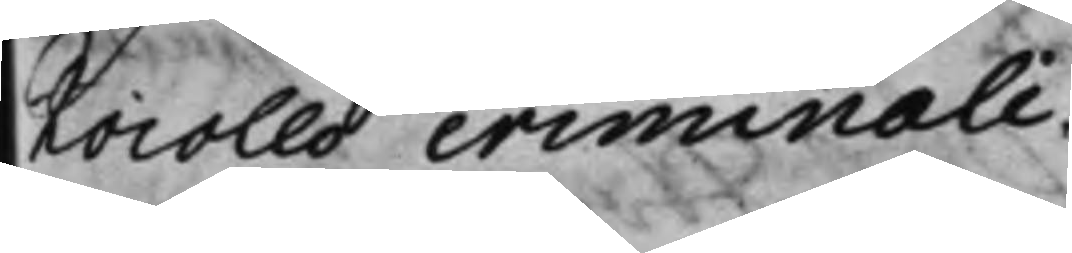tocollo criminali.
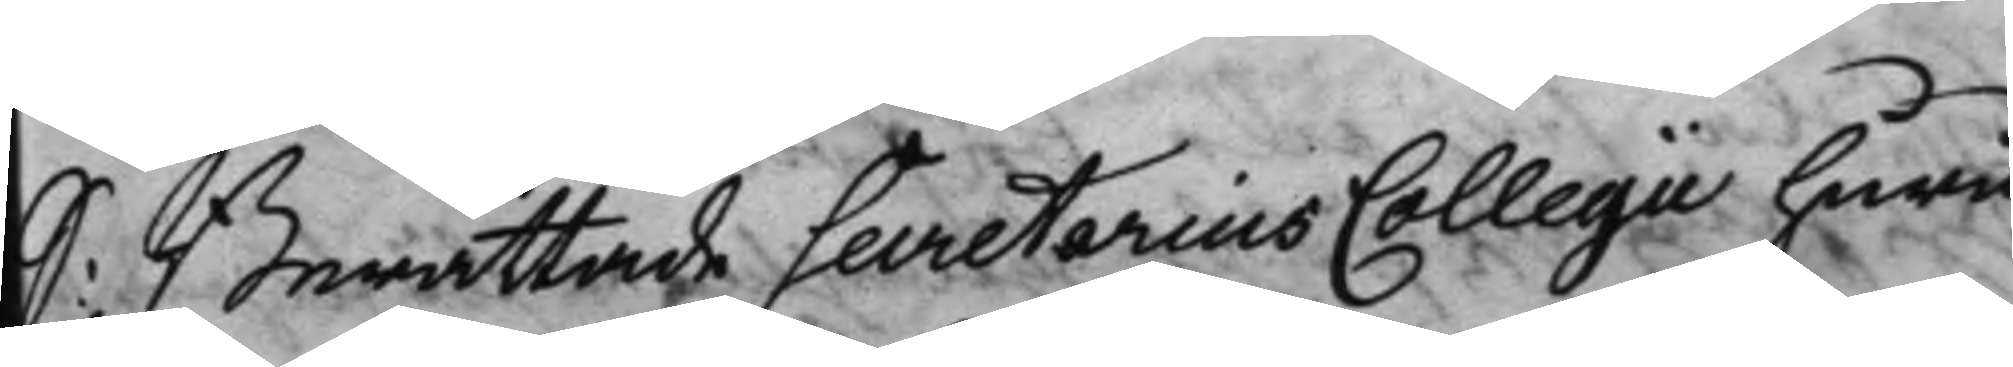S: Berättade Secretarius Collegii huru¬
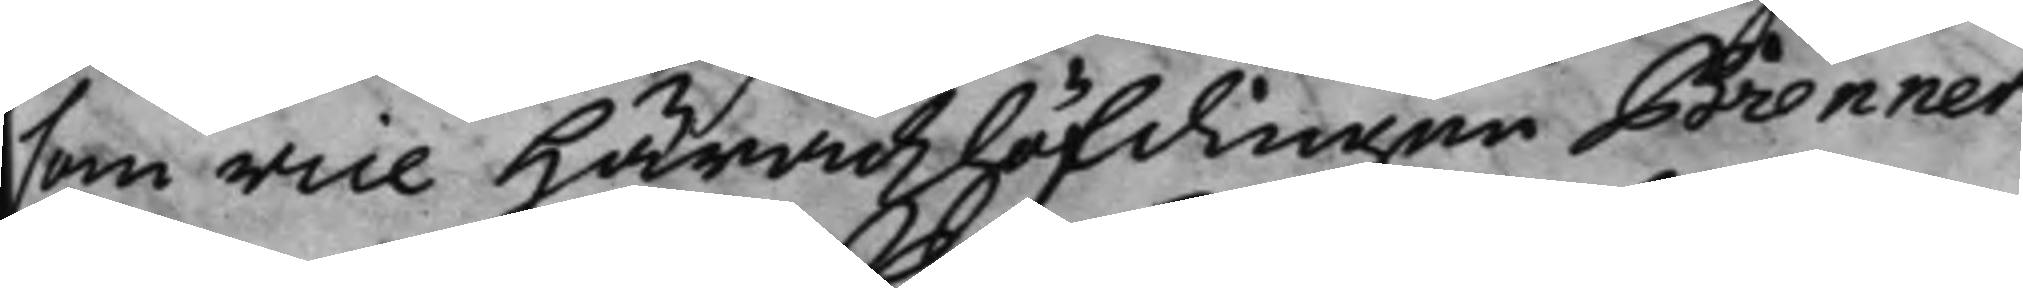som vice Häradzhöfdingen Brenner
